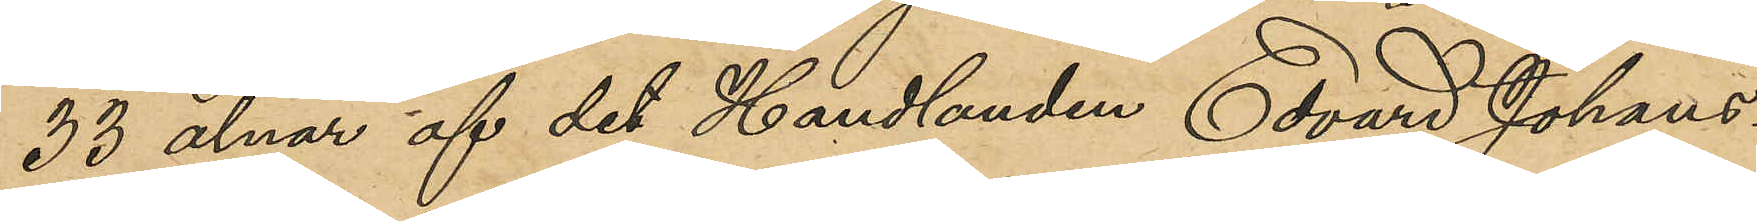33 alnar af det Handlanden Edvard Johans¬
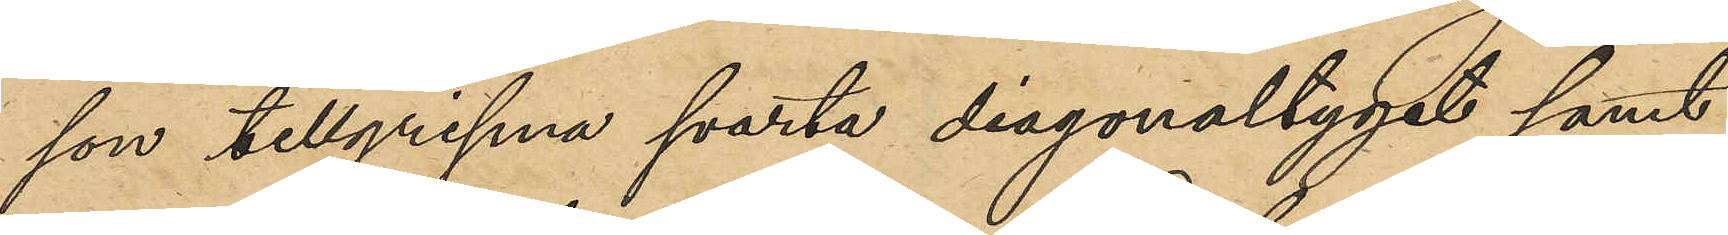son tillgripna svarta diagonaltyget samt
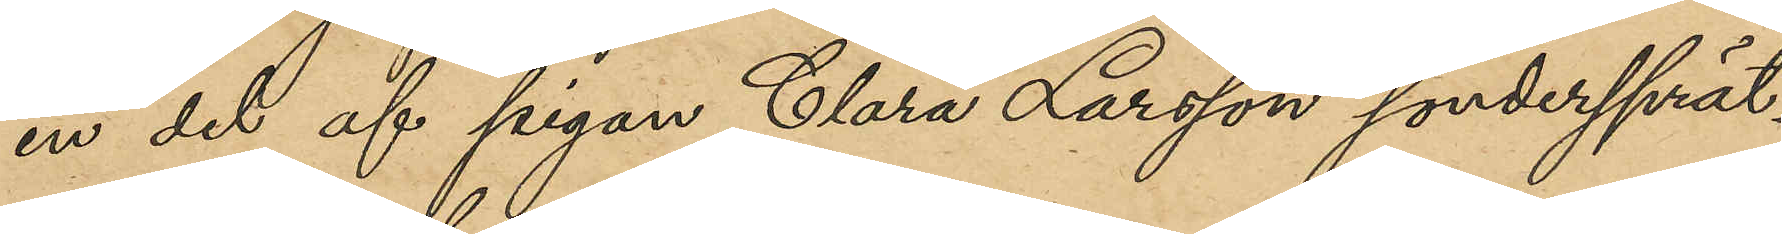en del af pigan Clara Larsson söndersprät¬
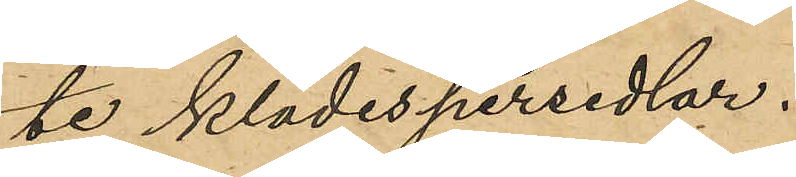te klädespersedlar.
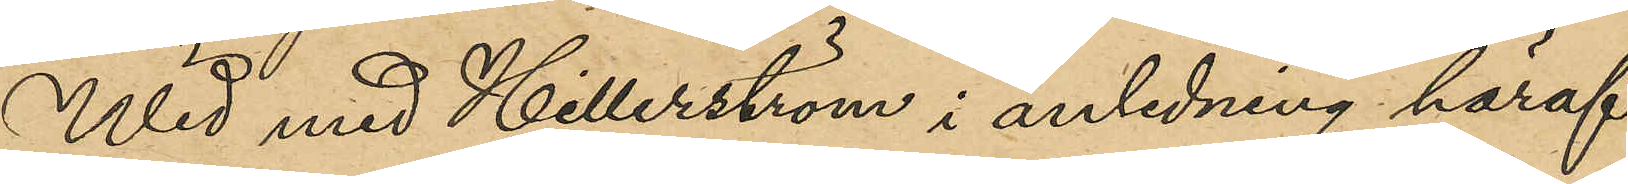Wid med Hillerström i anledning härav
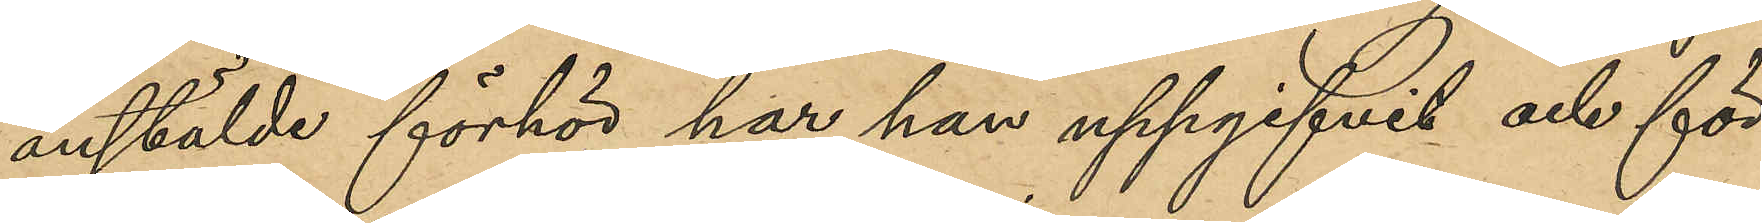anstäldt förhör har han uppgifvit och för¬
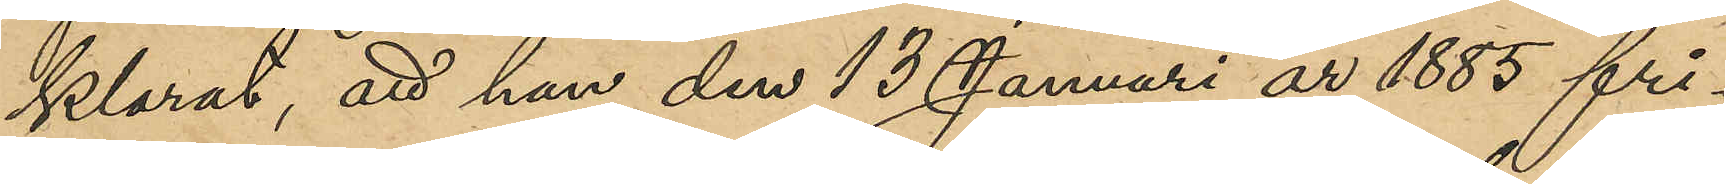klarat, att han den 13 Januari år 1885 fri¬
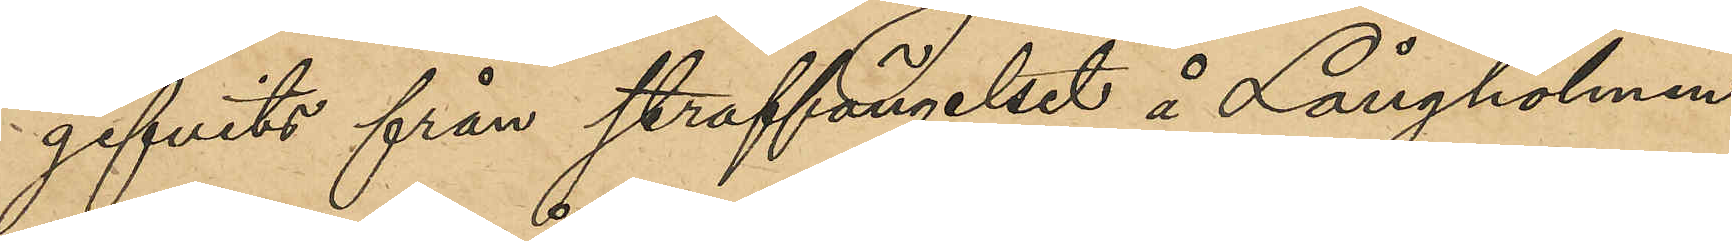gifvits från straffängelset å Långholmen
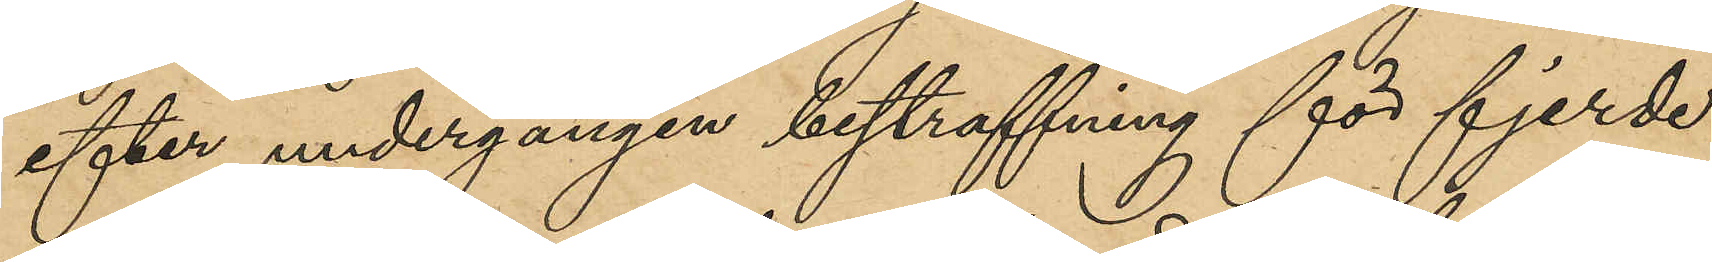efter undergången bestraffning för fjerde
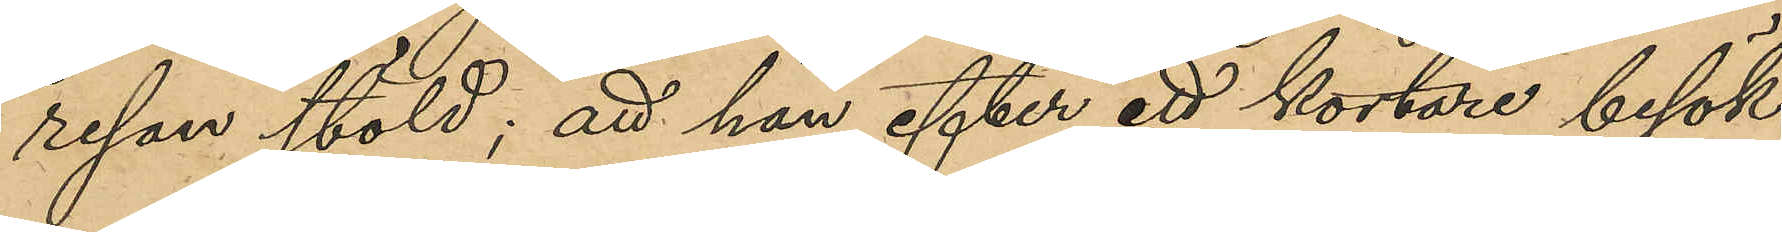resan stöld; att han efter ett kortare besök
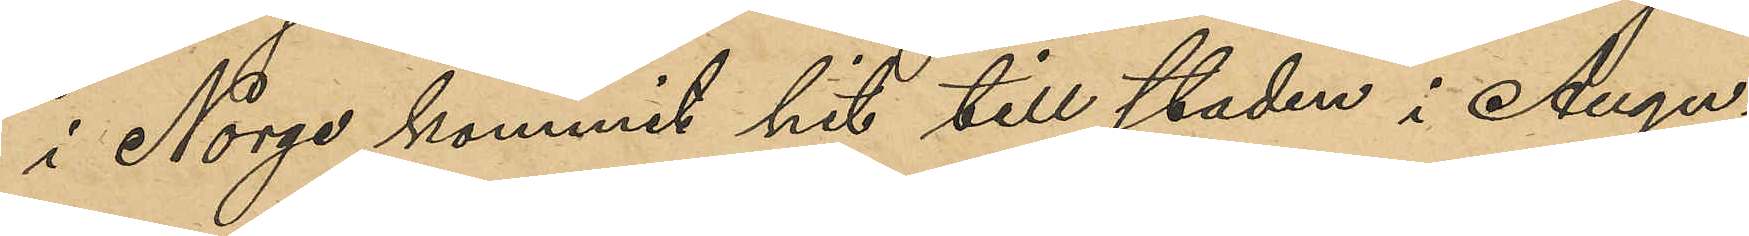i Norge kommit hit till staden i Augu¬
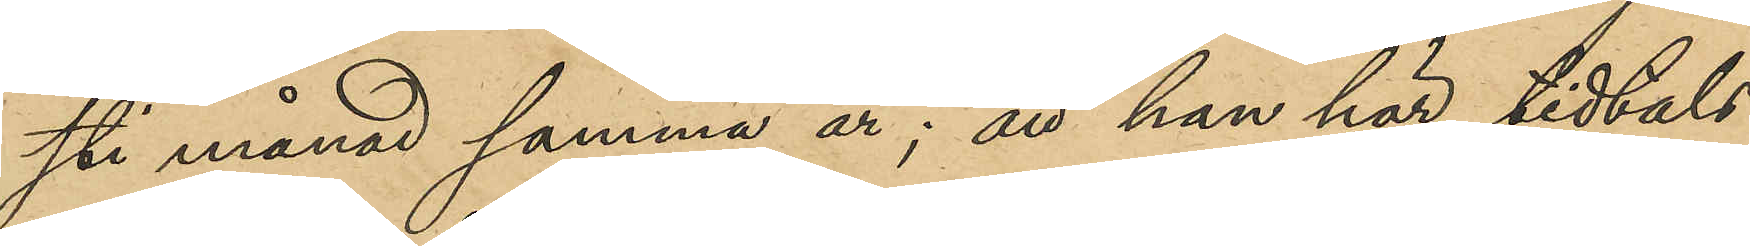sti månad samma år; att han här tidtals
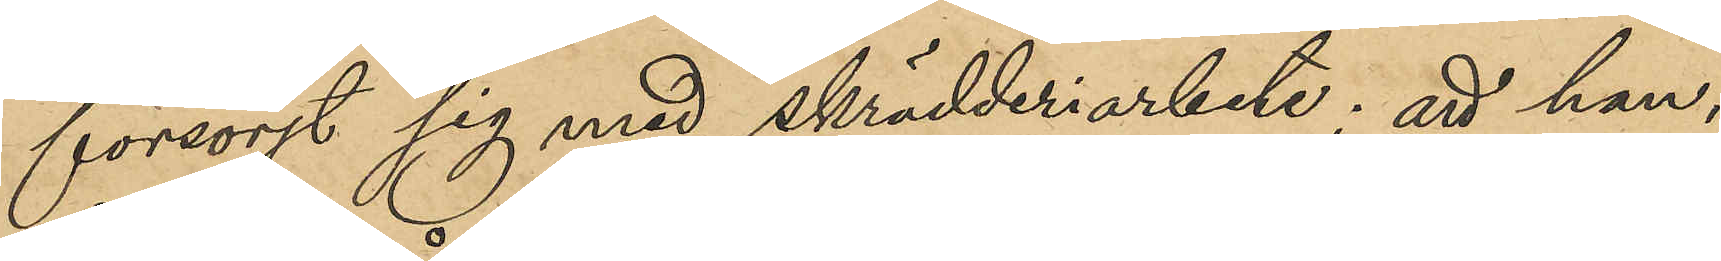försörjt sig med skrädderiarbete; att han,
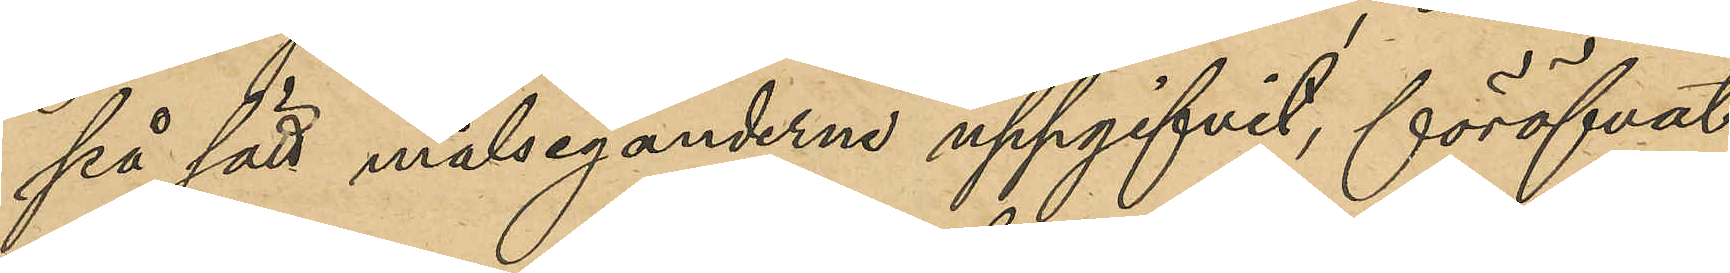på sätt målseganderna uppgifvit, föröfvat
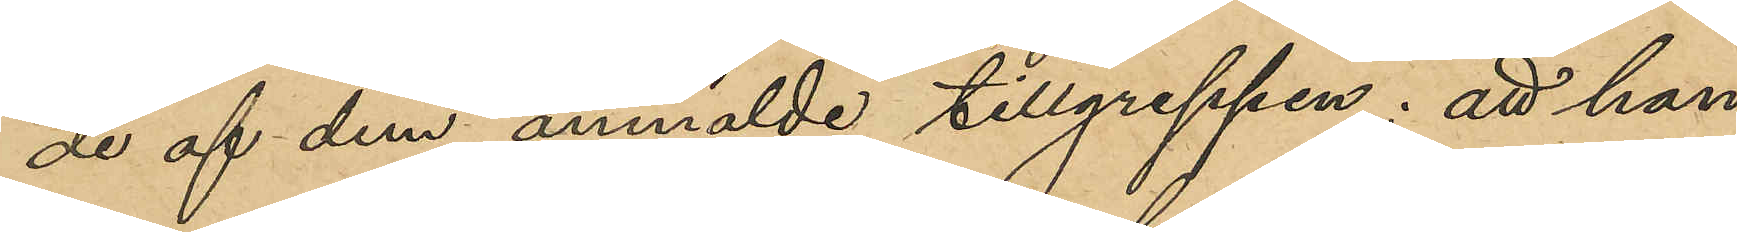de af dem anmälde tillgreppen; att han
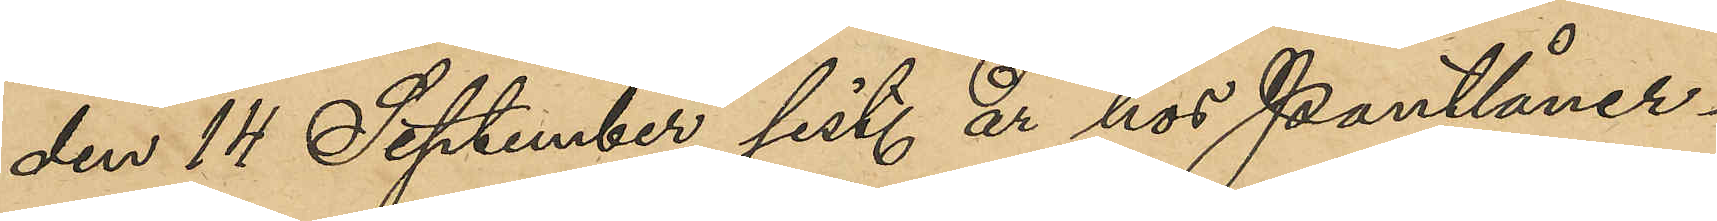den 14 September sist. år hos Pantlåner¬
